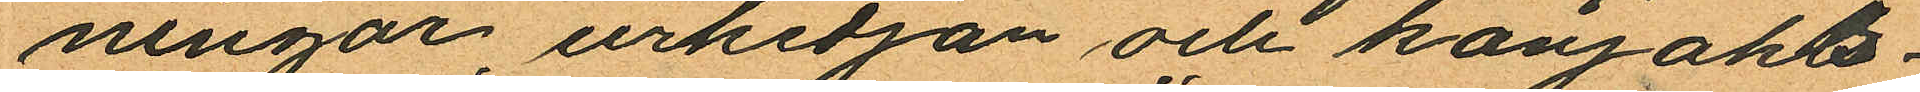ningar, urkedjan och konjaks¬
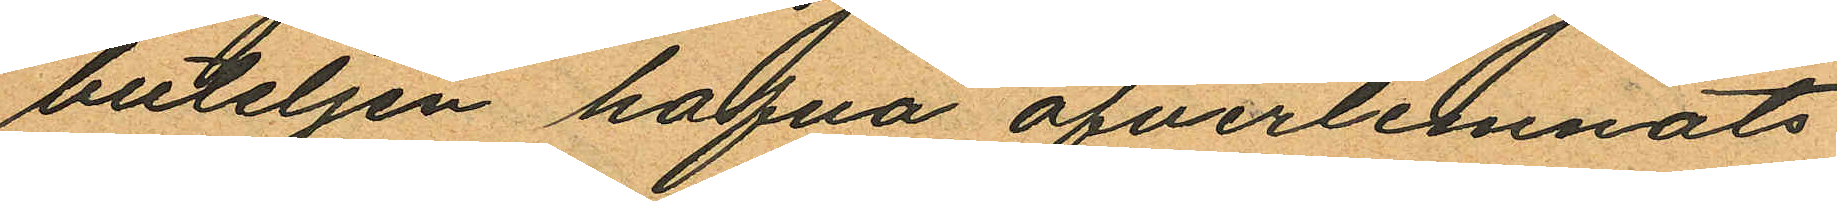buteljen hafva öfverlemnats
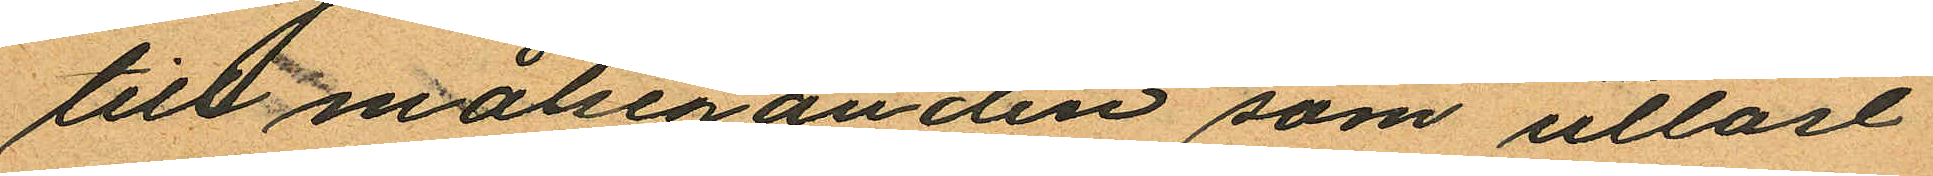till målseganden som utlöst
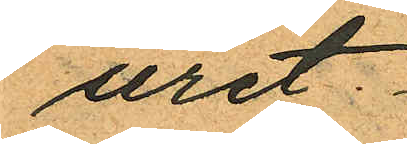uret.
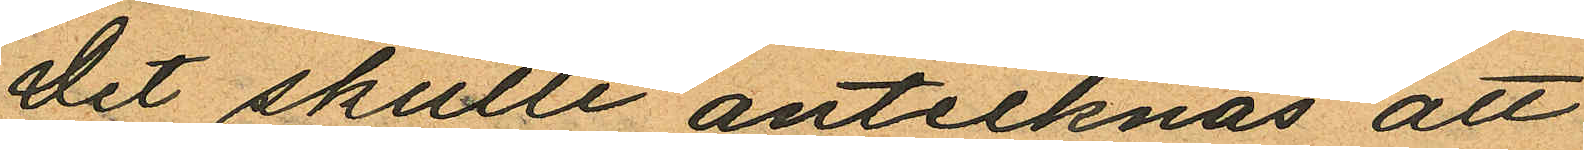Det skulle antecknas att
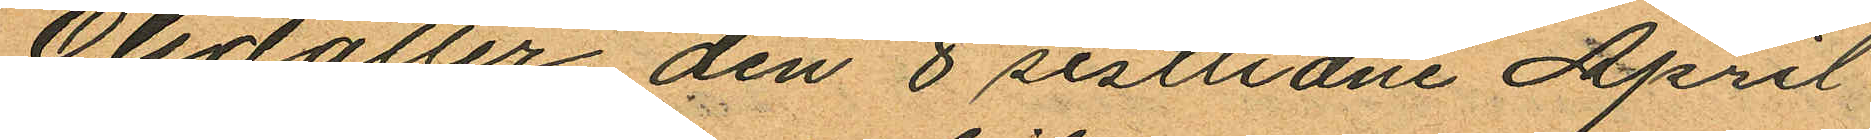Olsdotter den 8 sistlidne April
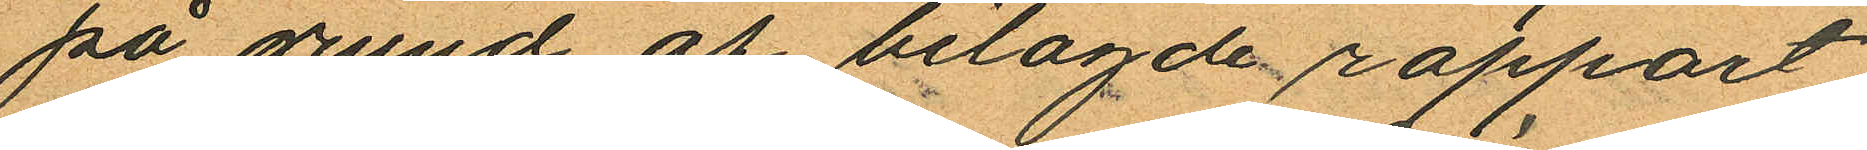på grund af belagde rapport
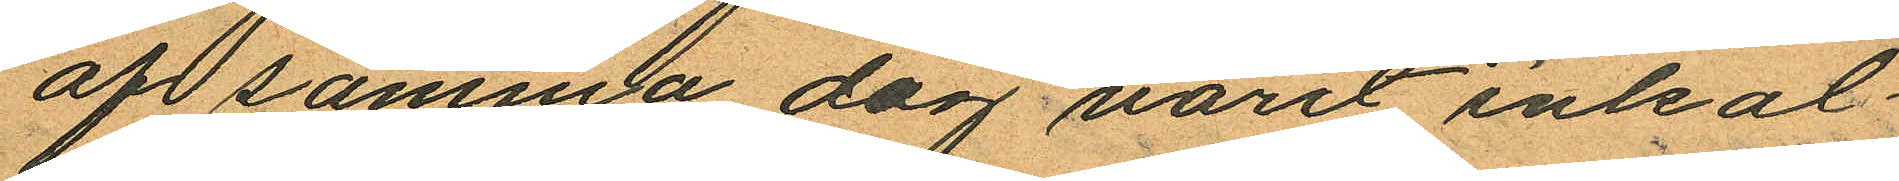af samma dag varit inkal¬
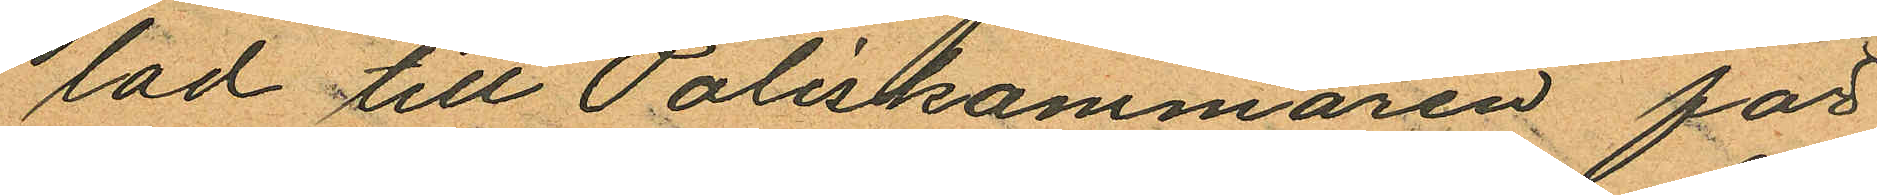lad till Poliskammaren för
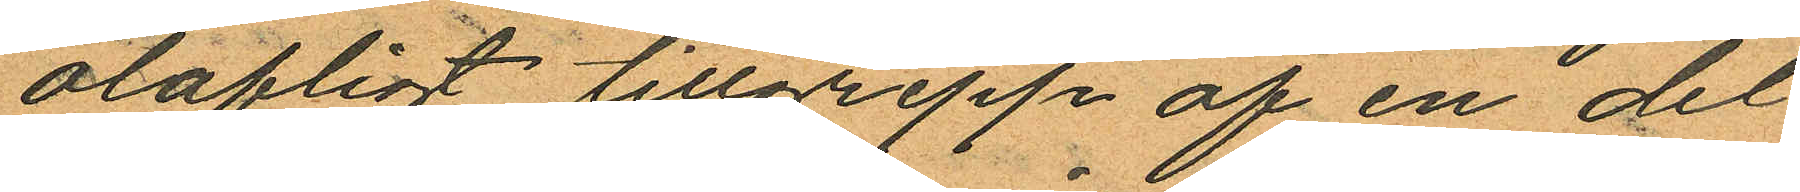olofligt tillgrepp af en del
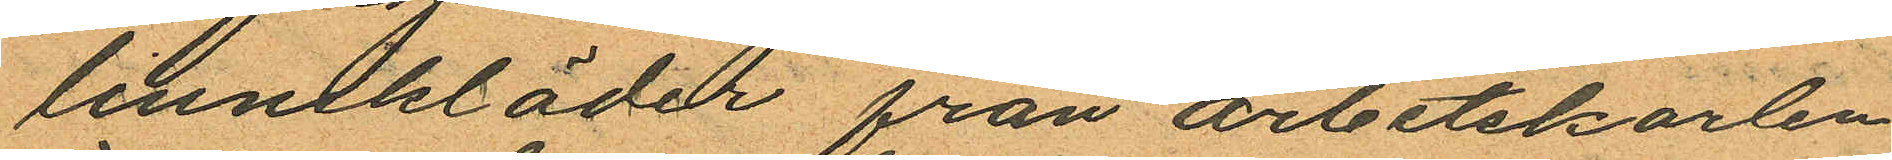linnekläder från arbetskarlen
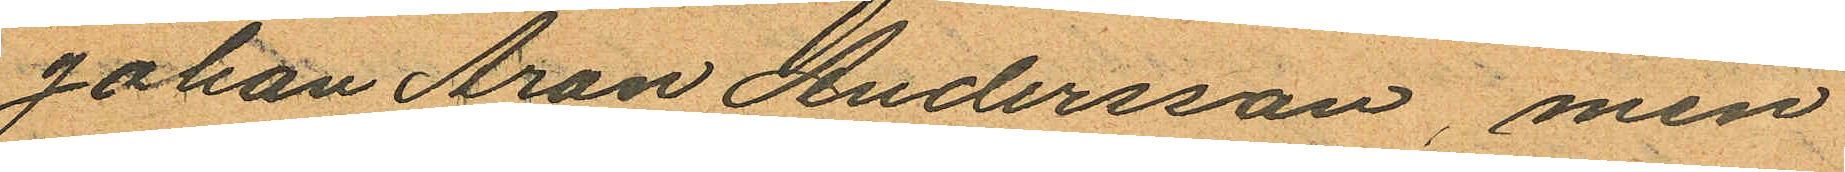Johan Aron Andersson, men
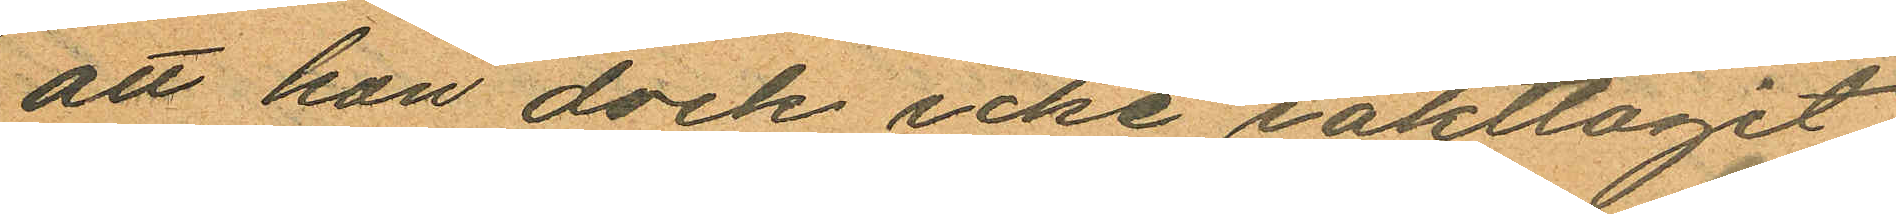att hon dock icke iakttagit
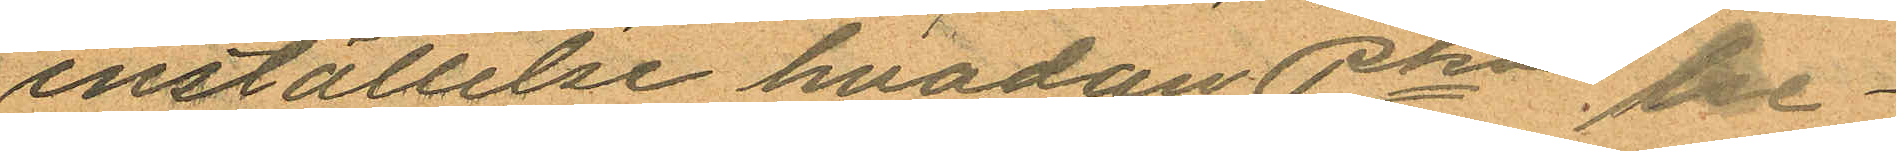inställelse hvadan Pkn be¬
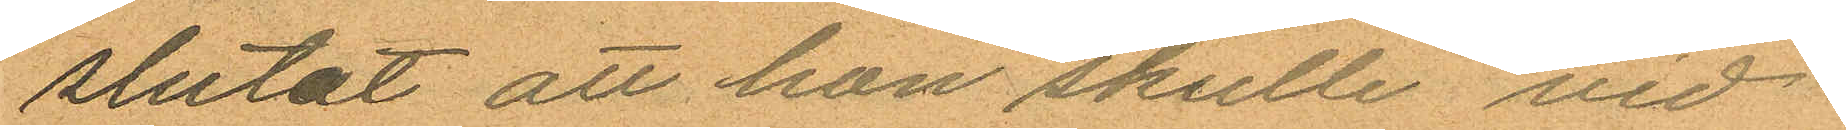slutat att hon skulle vid
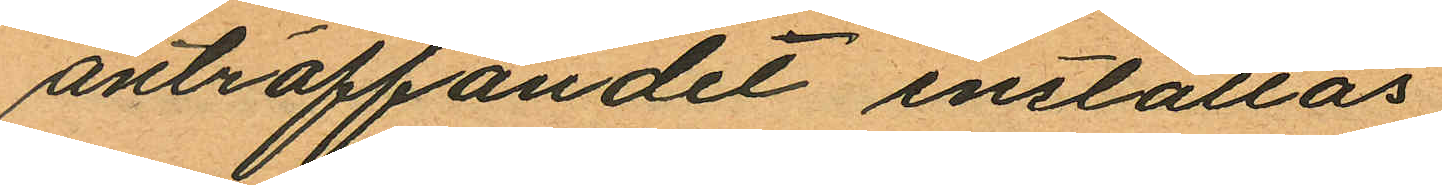anträffandet inställas.
